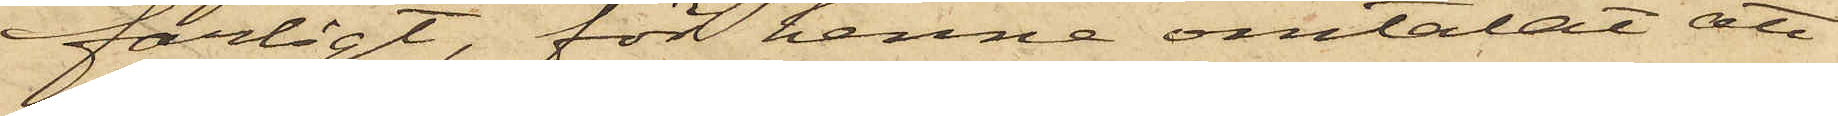farligt, för henne omtalat att
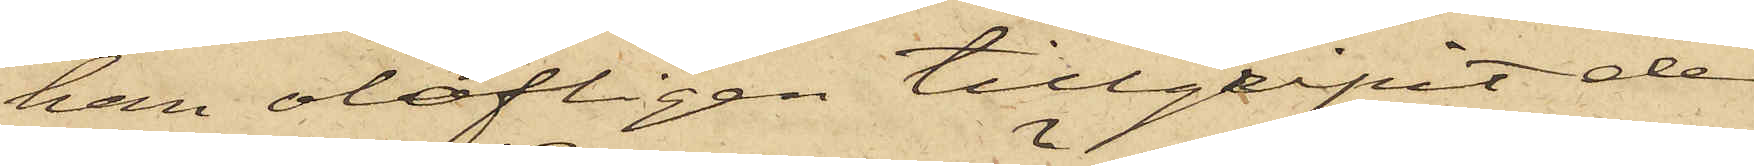han olofligen tillgripit de
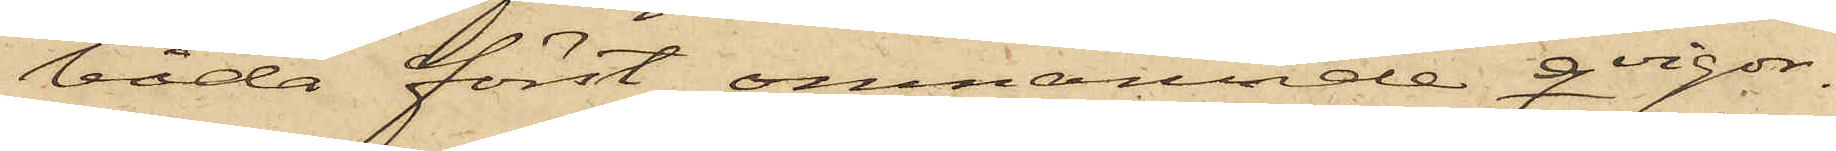båda först omnämnde qvigor¬
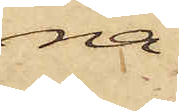na.
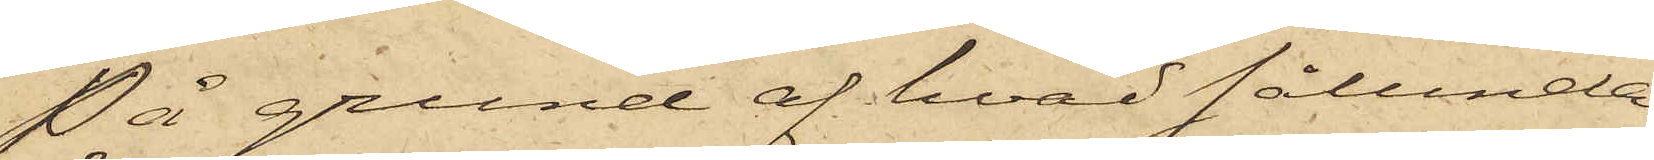På grund af hvad sålunda
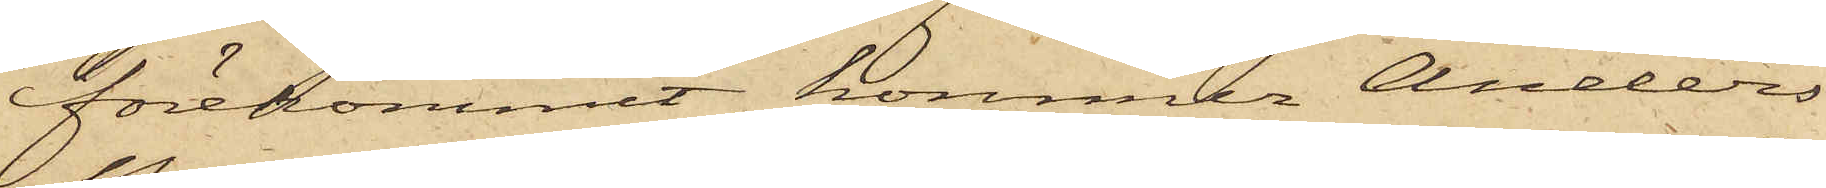förekommit, kommer Anders
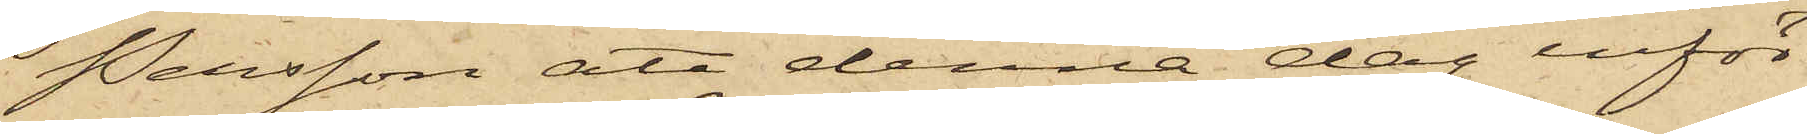Persson att denna dag inför
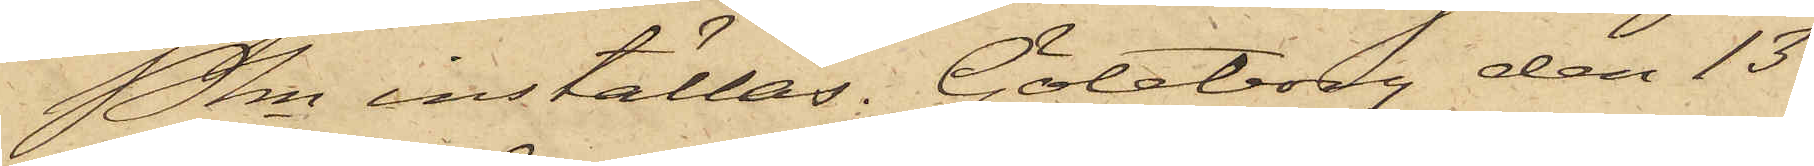Pkn inställas. Göteborg den 13
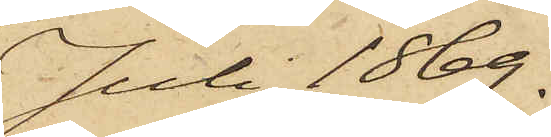Juli 1869.
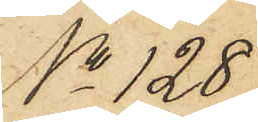No 128
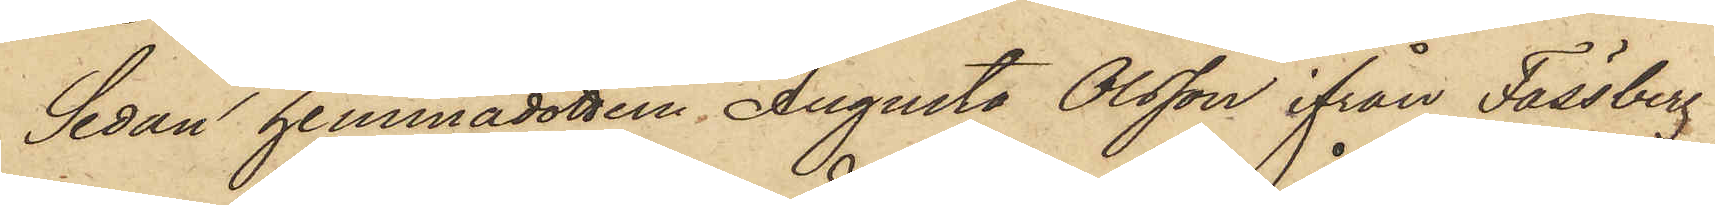Sedan hemmadottern Augusta Olsson ifrån Fässberg
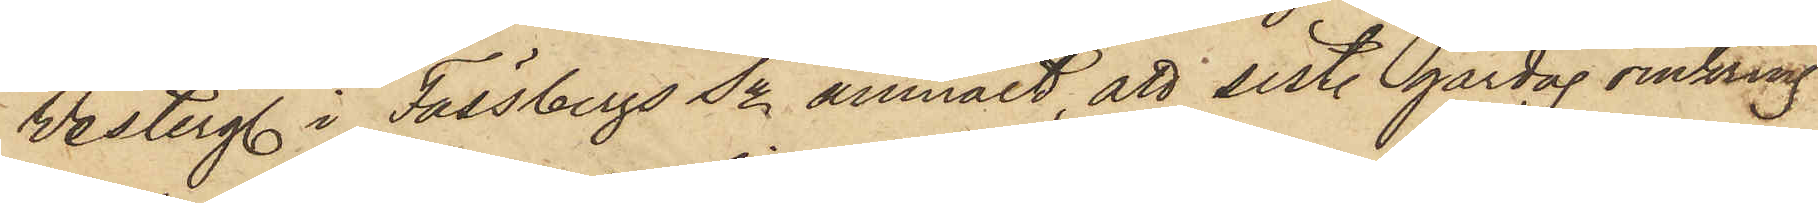Vesterg. i Fässbergs Sn anmält, att sist. gårdag omkring
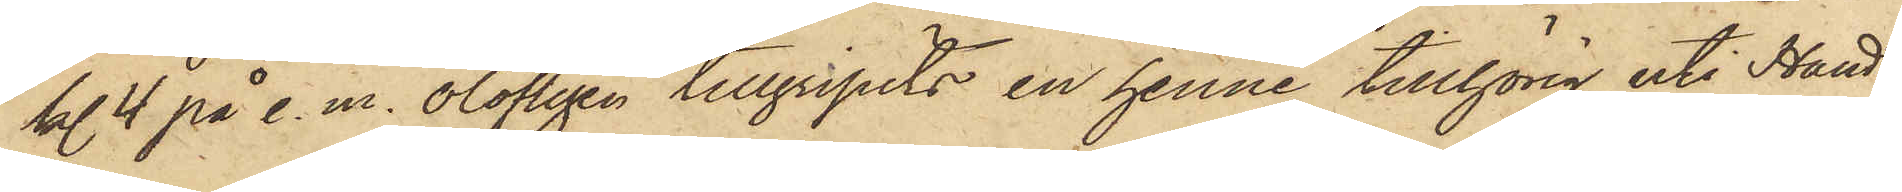kl. 4 på e. m. olofligen tillgripits en henne tillhörig, uti Hant¬
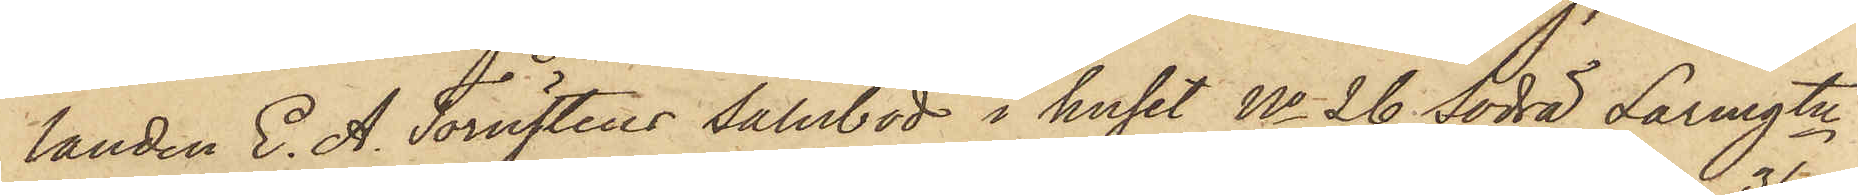landen E. A. Törnstens salubod i huset No 26 Södra Larmgtn
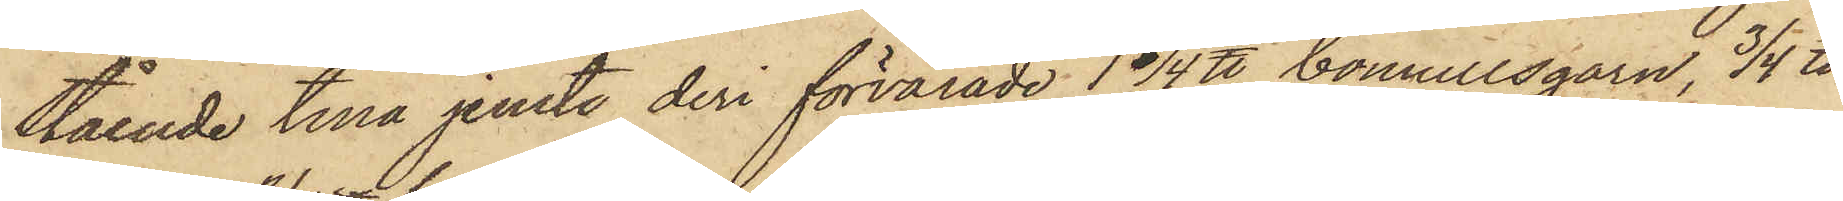stående tina jemte deri förvarade 1 1/4 ℔ bomullsgarn, 3/4 ℔
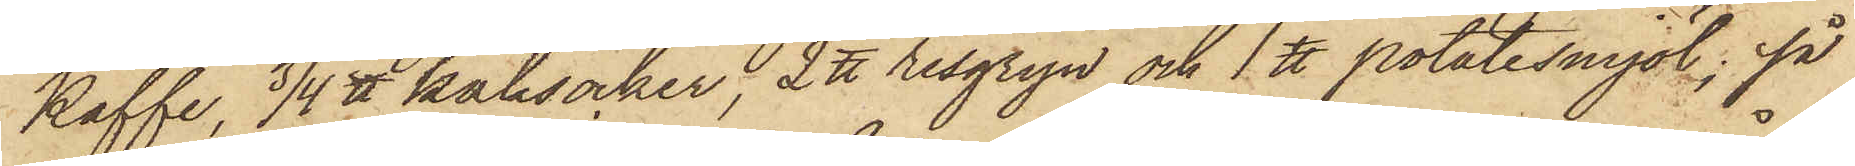Kaffe, 3/4 ℔ kaksocker, 2 ℔ risgryn och 1 ℔ potatismjöl; så
